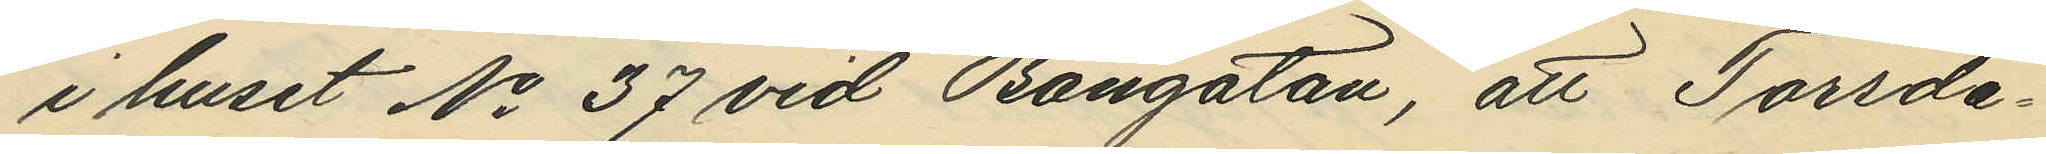i huset No 37 vid Bangatan, att Torsda¬
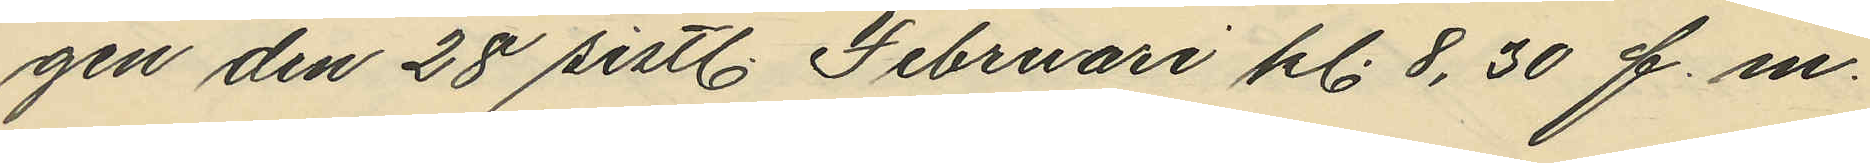gen den 28 sistl. Februari kl. 8,30 f.m.
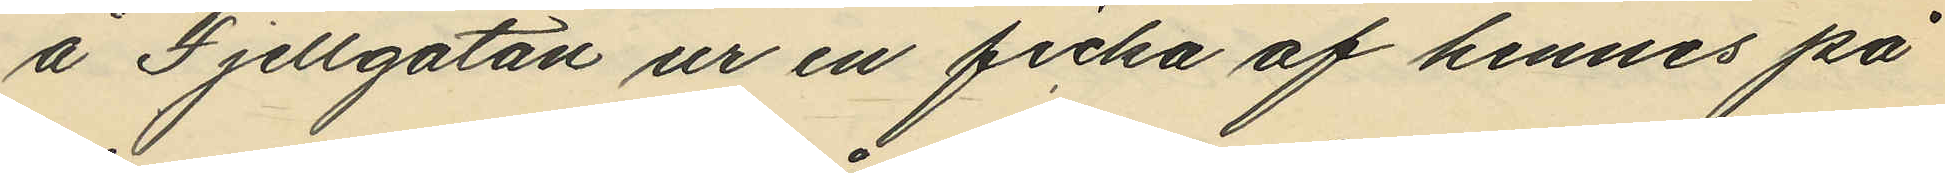å Fjellgatan ur en ficka af hennes på¬
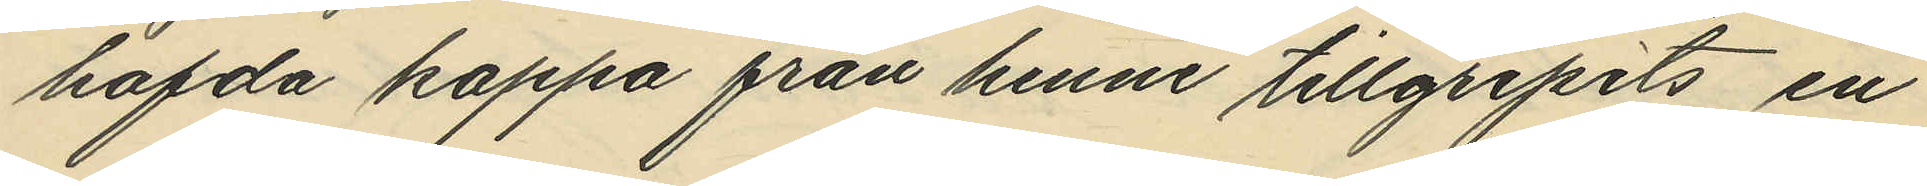hafda kappa från henne tillgripits en
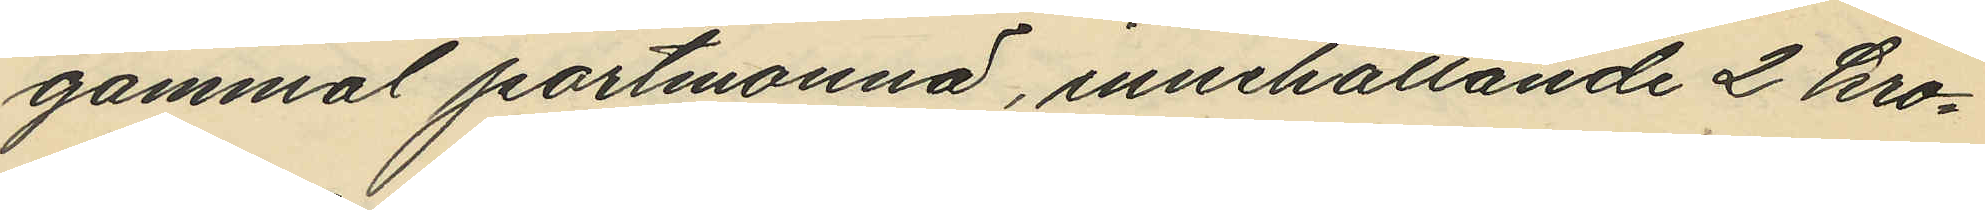gammal portmonnä, innehållande 2 kro¬
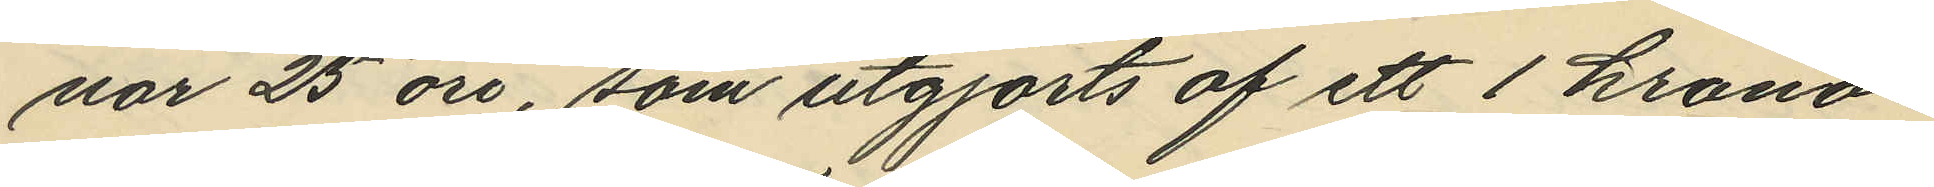nor 25 öre, som utgjorts af ett 1 krona¬
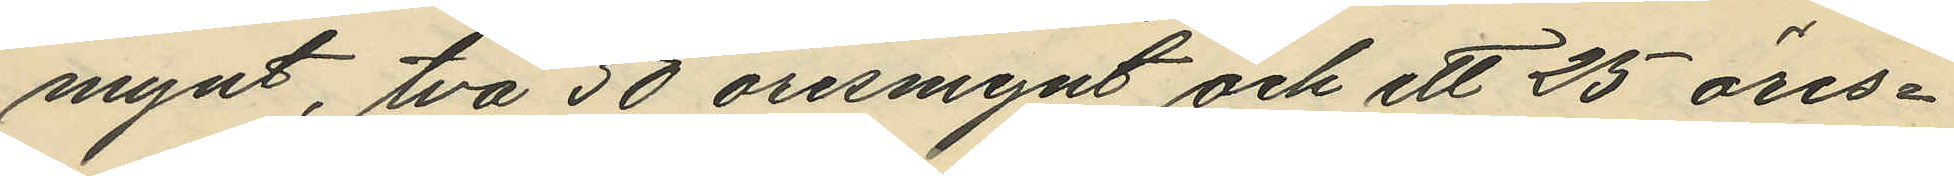mynt, två 50 öresmynt och ett 25 öres
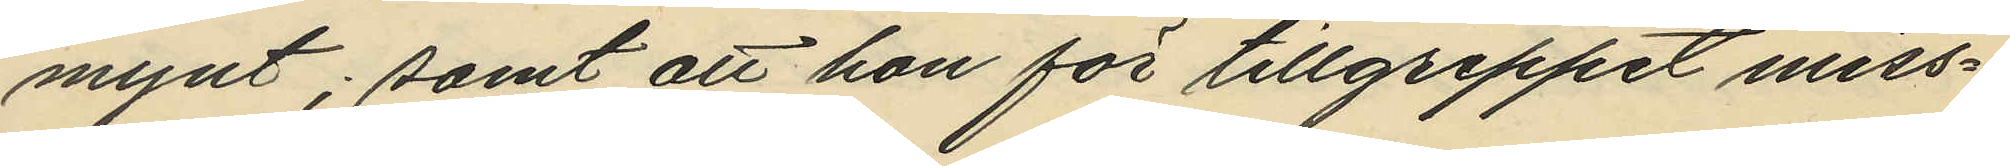mynt; samt att hon för tillgreppet miss¬
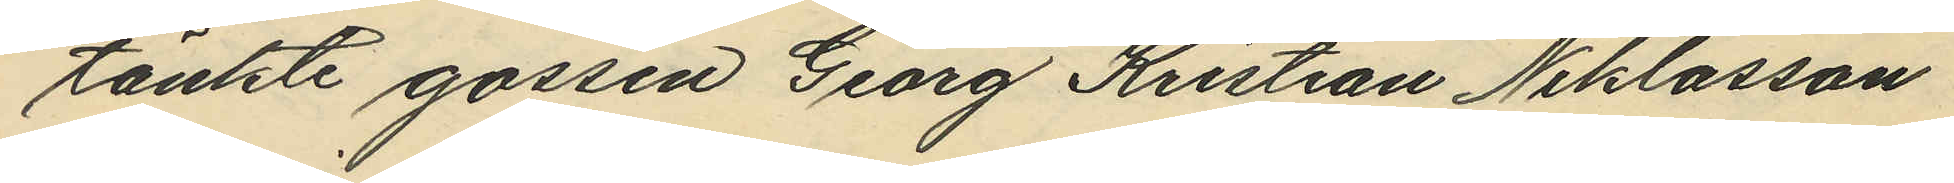tänkte gossen Georg Kristian Niklasson.
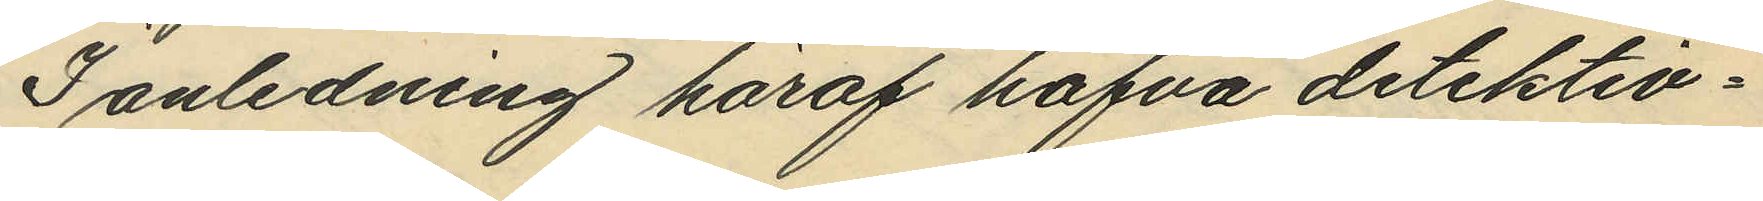I anledning häraf hafva detektiv¬
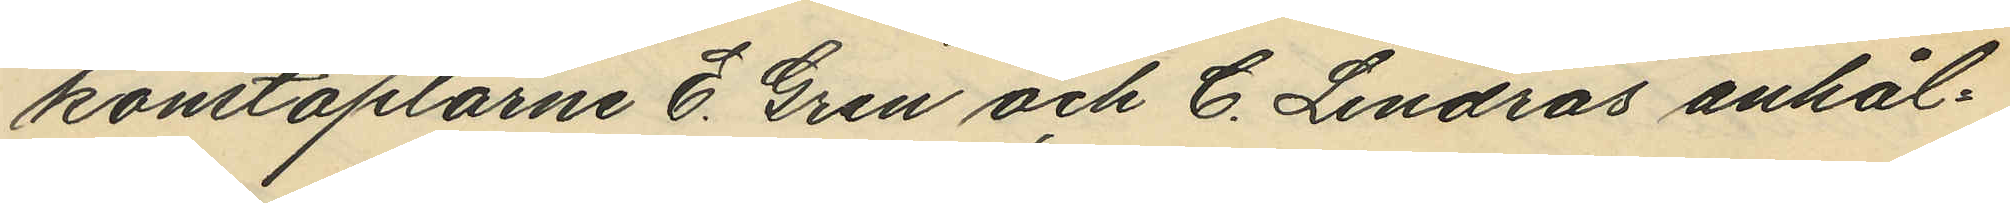konstaplarne E. Gren och C. Lindros anhål¬
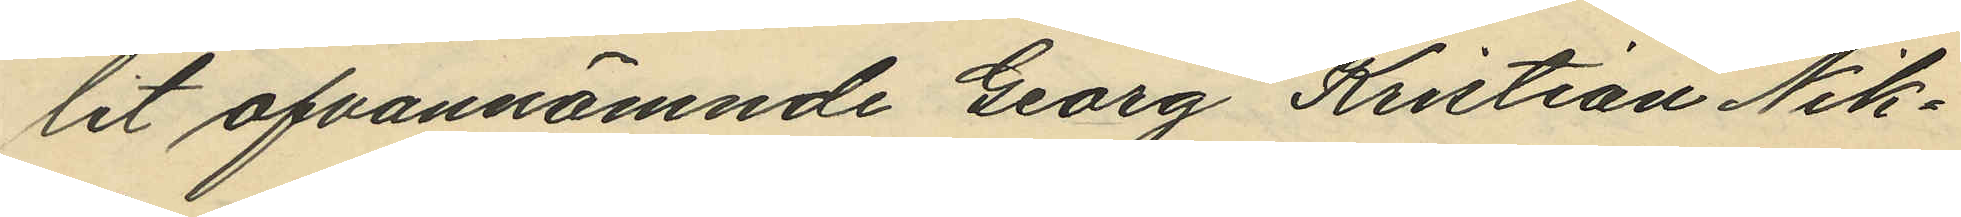lit ofvannämnde Georg Kristian Nik¬
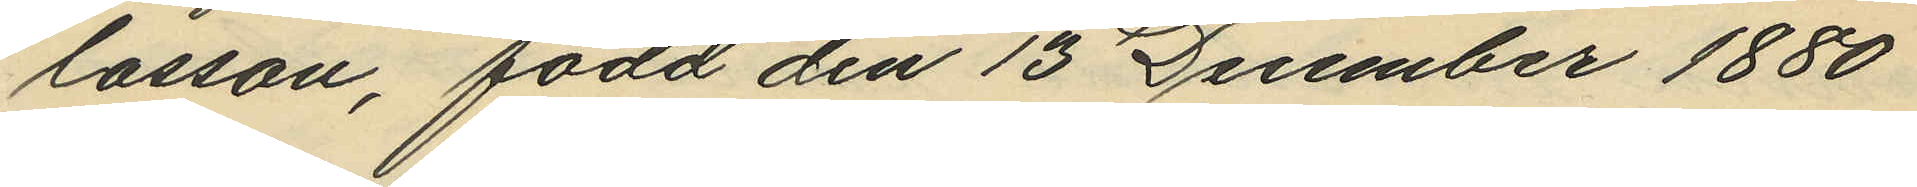lasson, född den 15 December 1880
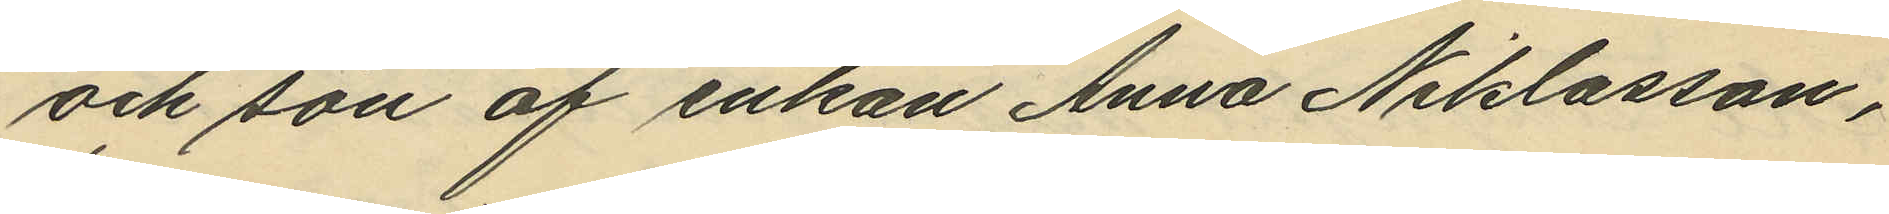och son af enkan Anna Niklasson,
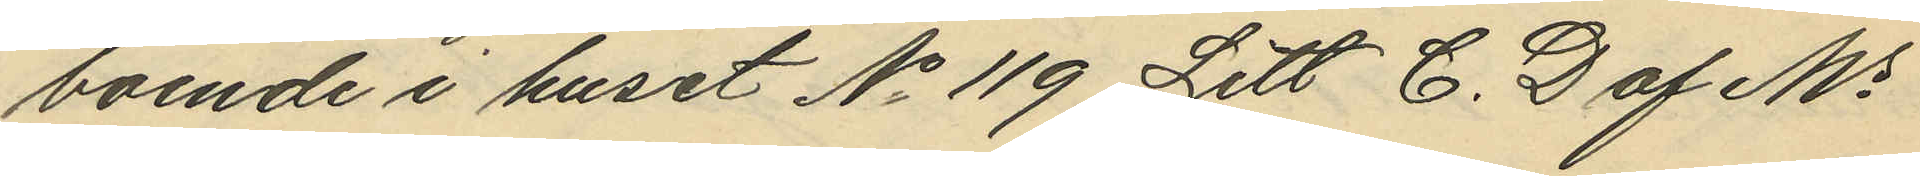boende i huset No 119 Litt. C. D af Ms
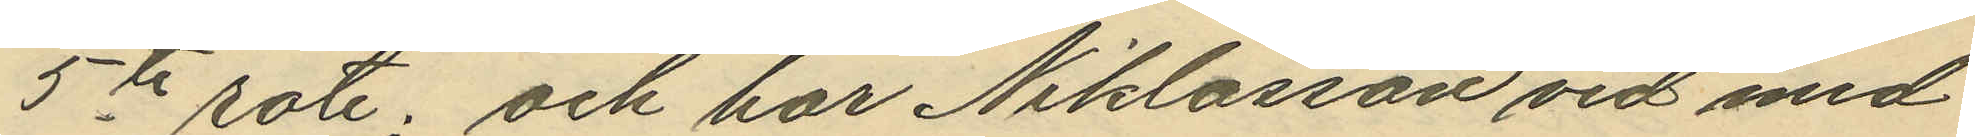5te rote; och har Niklasson vid med
